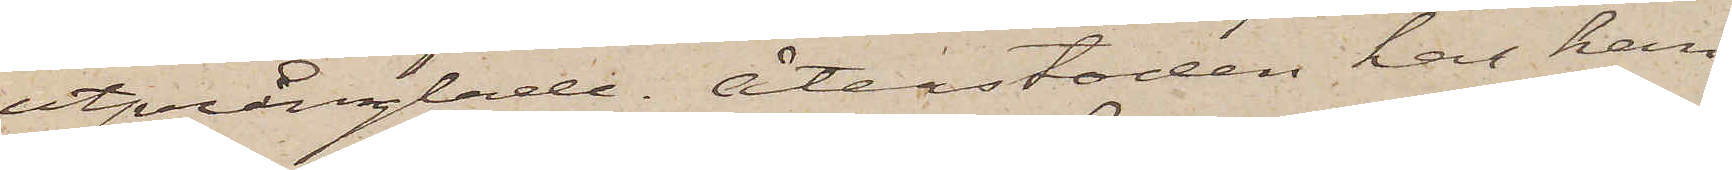utprånglade. Återstoden har han
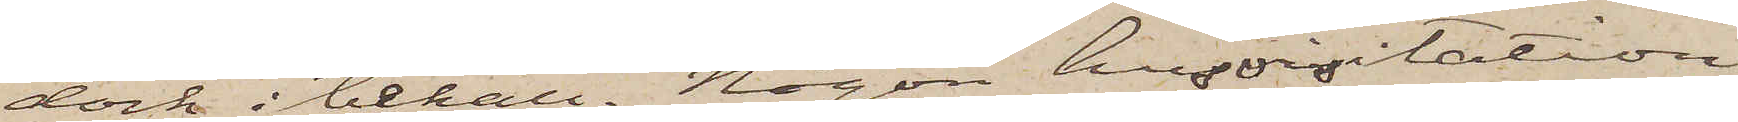dock i behåll. Någon husvisitation
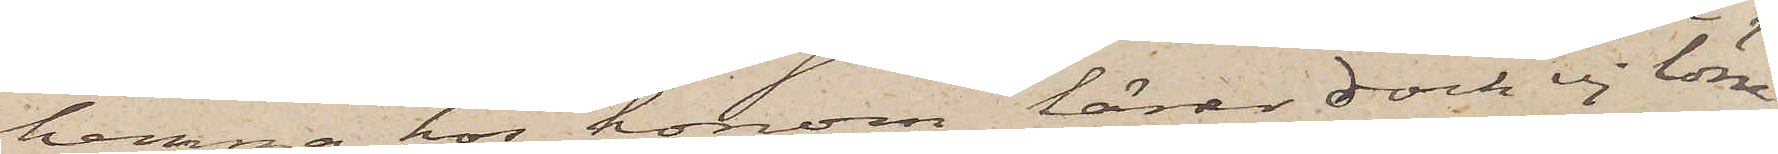hemma hos honom lärer dock ej löna
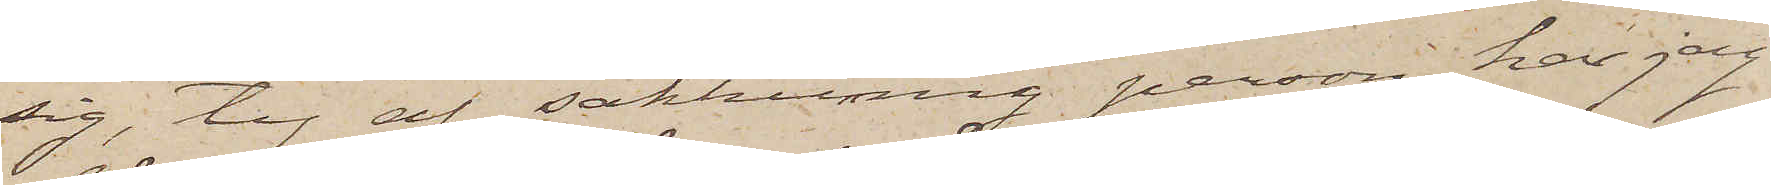sig, ty af sakkunnig person har jag
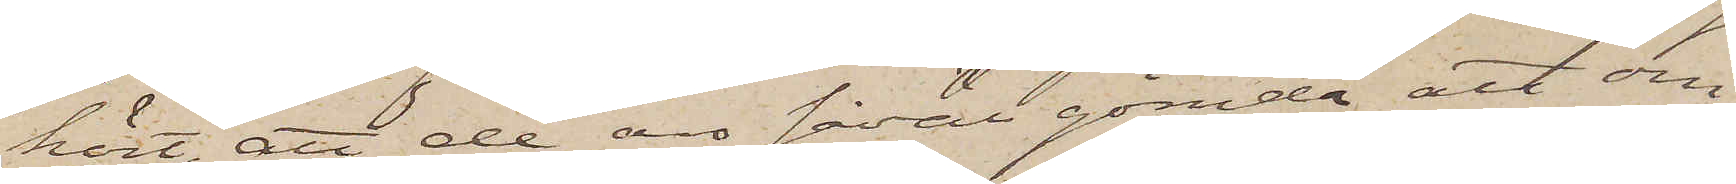hört, att de äro såväl gömda att om
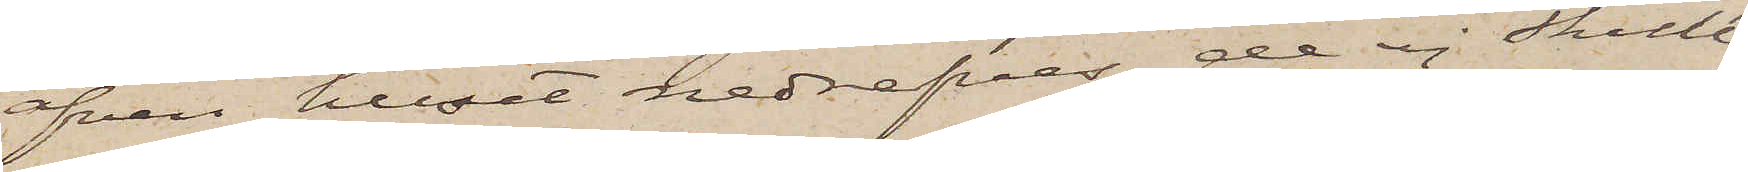äfven huset nedrifves, de ej skulle
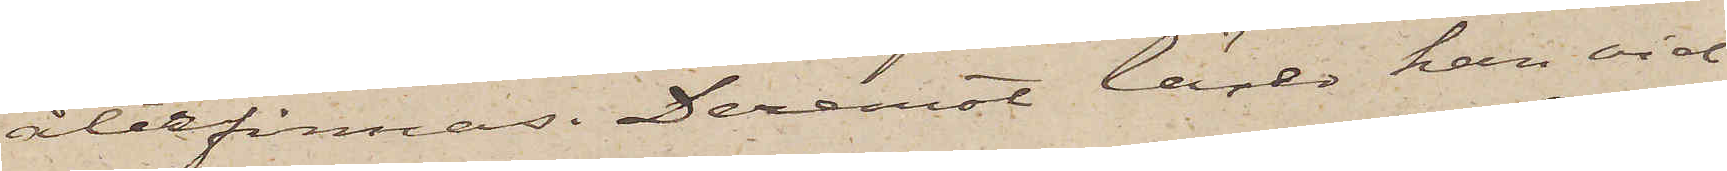återfinnas. Deremot lärer han vid
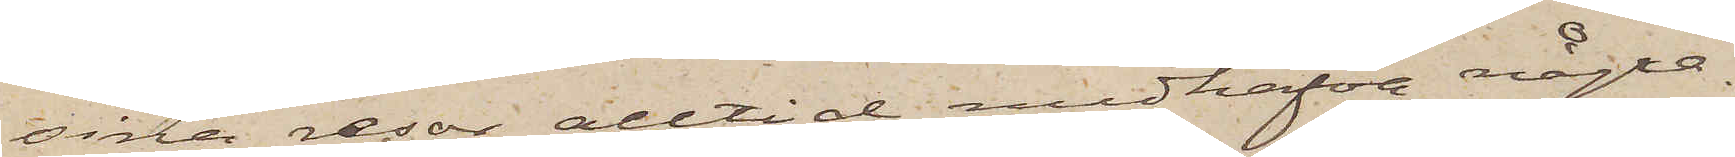sina resor alltid medhafva några.
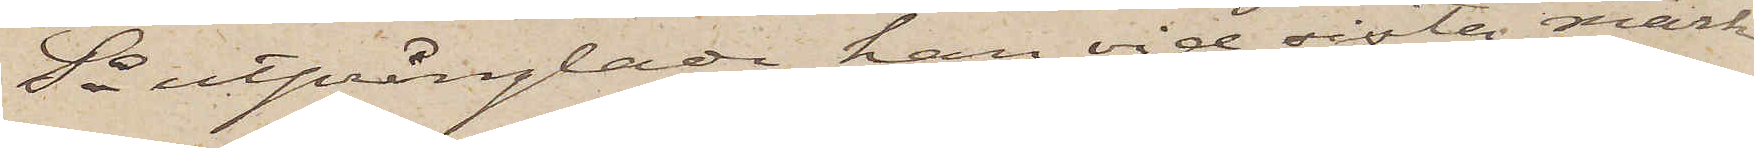Så utprånglade han vid sista mark¬
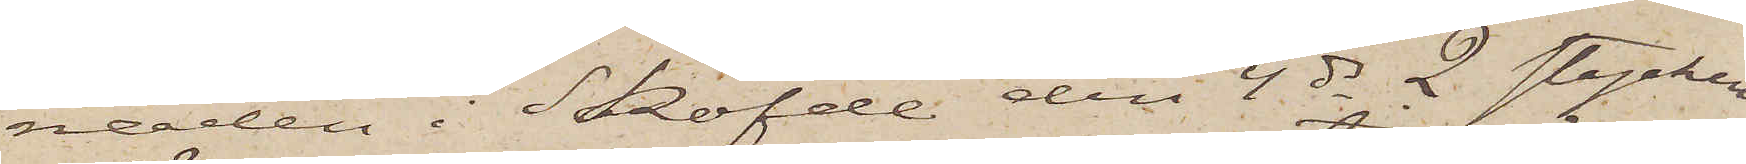naden i Sköfde den 4 ds 2 stycken.
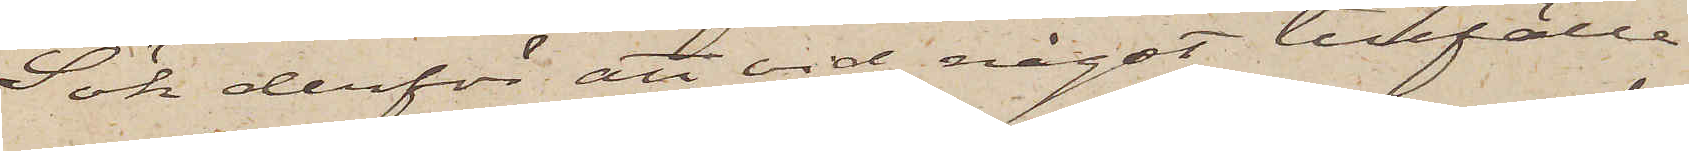Sök derför att vid något tillfälle,
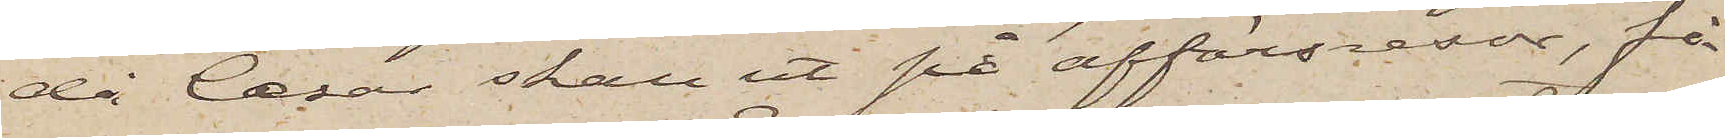då Cæsar skall ut på affärsresor, få
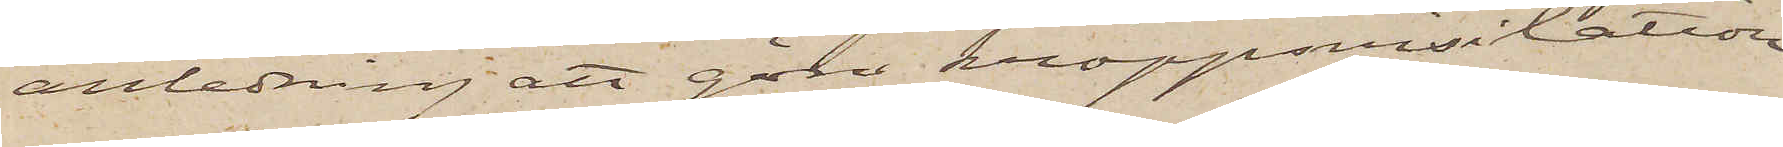anledning att göra kroppvisitation
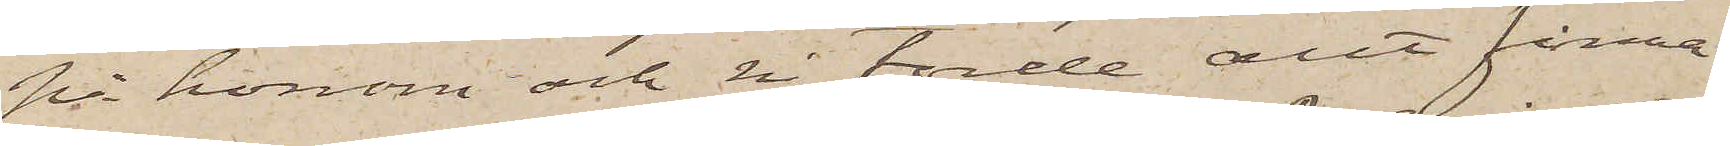på honom och Ni torde allt finna
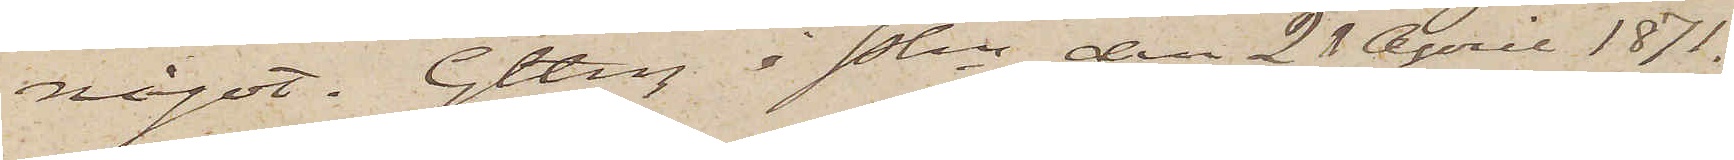något. Gtbrg i Pkn den 21 April 1871.
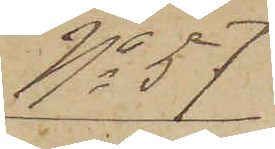No 57
